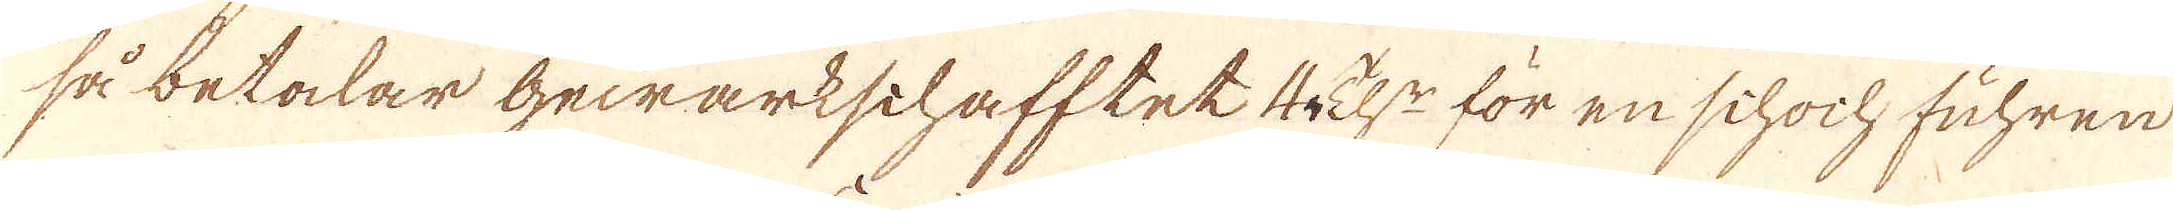så betalar Gewärkschafftet 4 h:r för en schoch fuhren
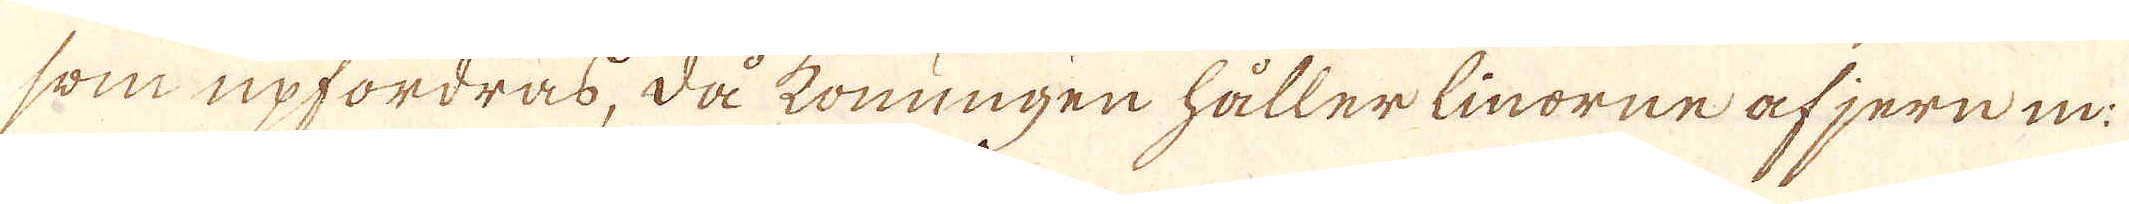som upfordras, då konungen håller linorne af jern in:
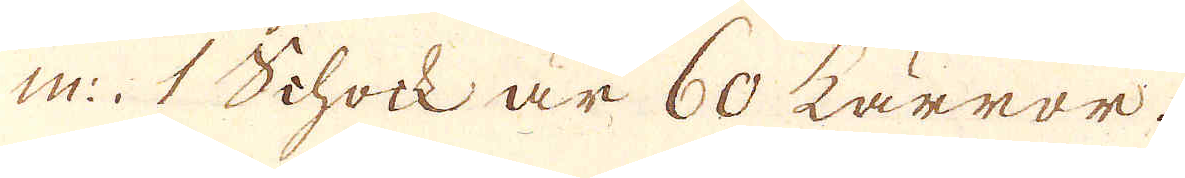m:. 1 Schock är 60 kärror.
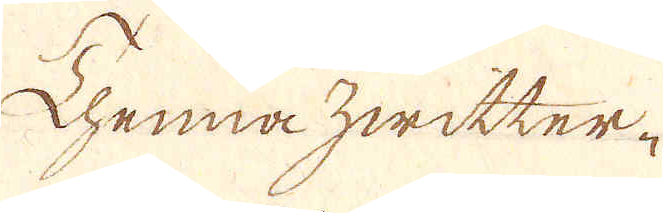Thenna hwitter-
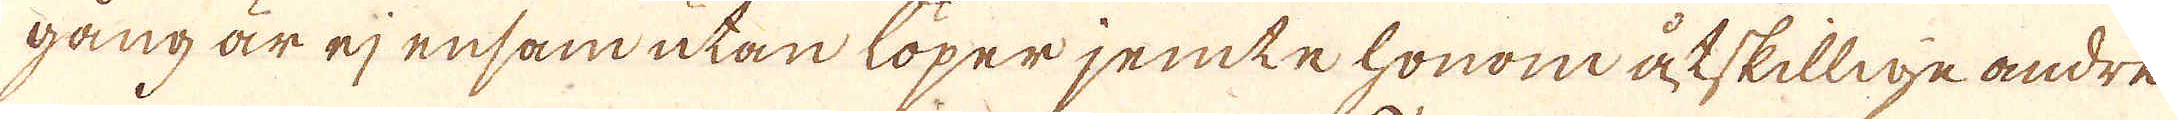gång är ej ensam utan löper jemte honom åtskillne andre
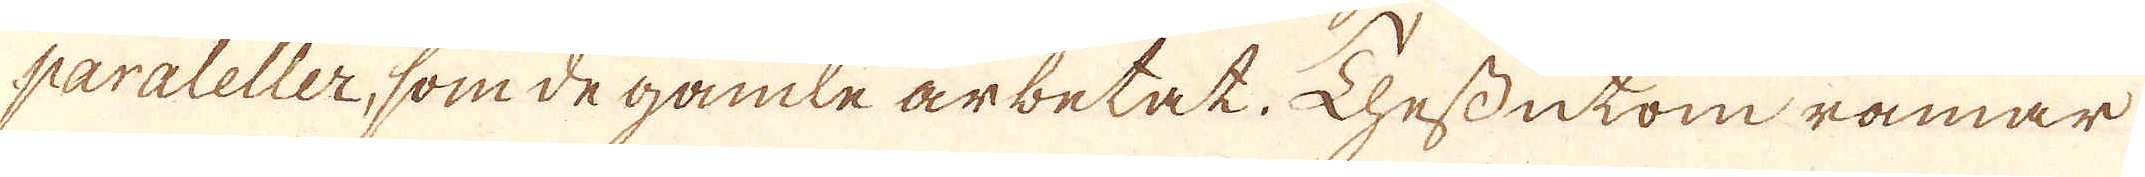paraleller, som de gamle arbetat. Dhessutom ramar
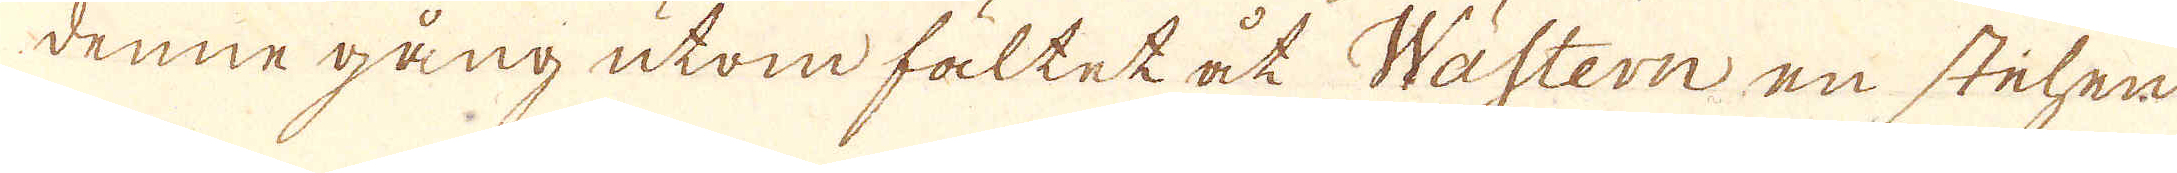denne gång utom fältet åt Wästern en stelen
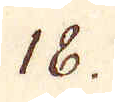18.
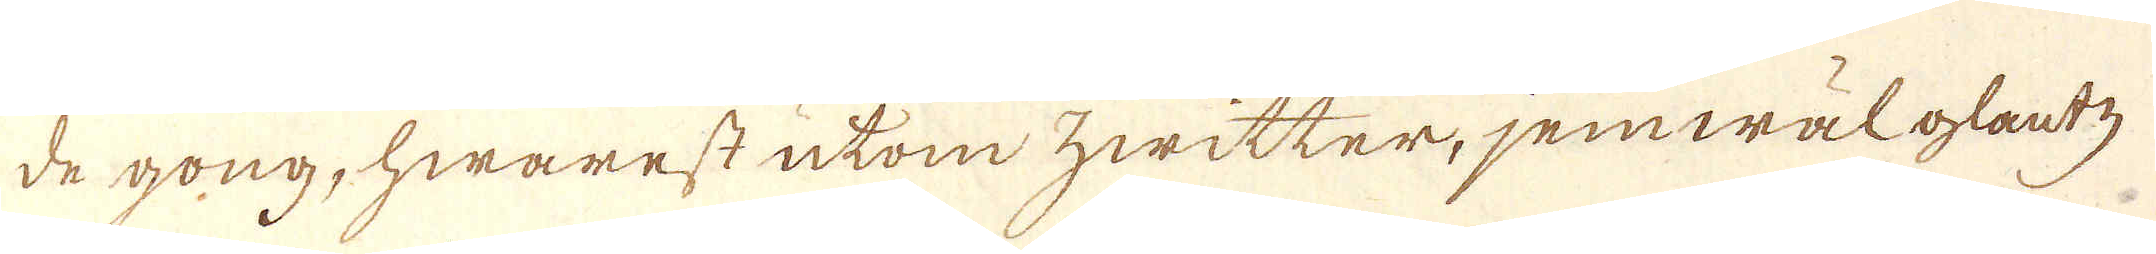de gong, hwarest utom hwitter, jemwäl glantz
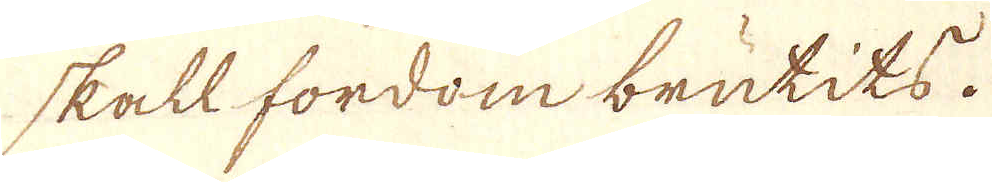skall fordom brutits.
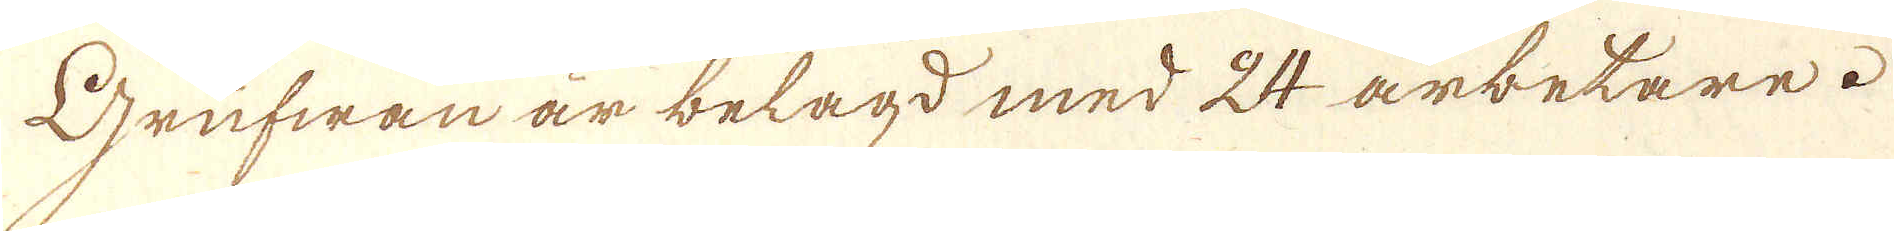Grufwan är belagd med 24 arbetare.
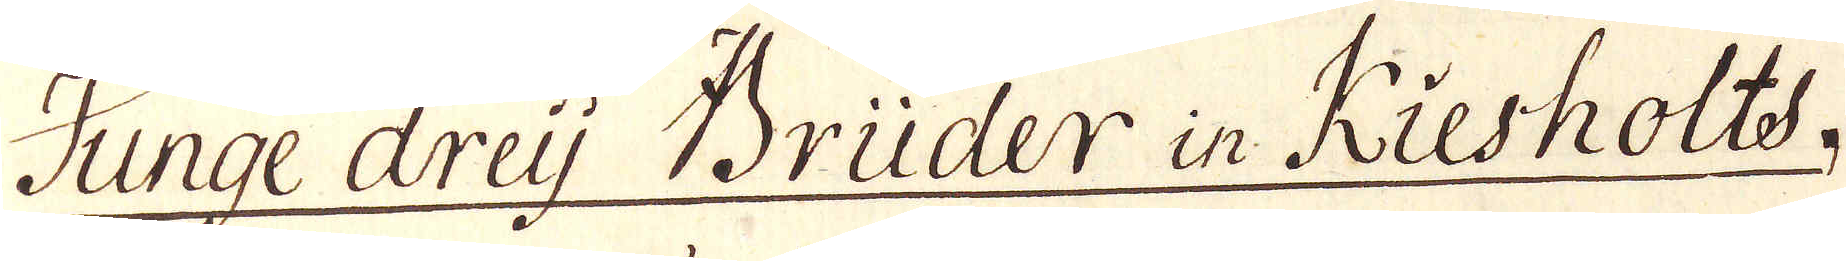Junge dreij Brüder in Riesholts.
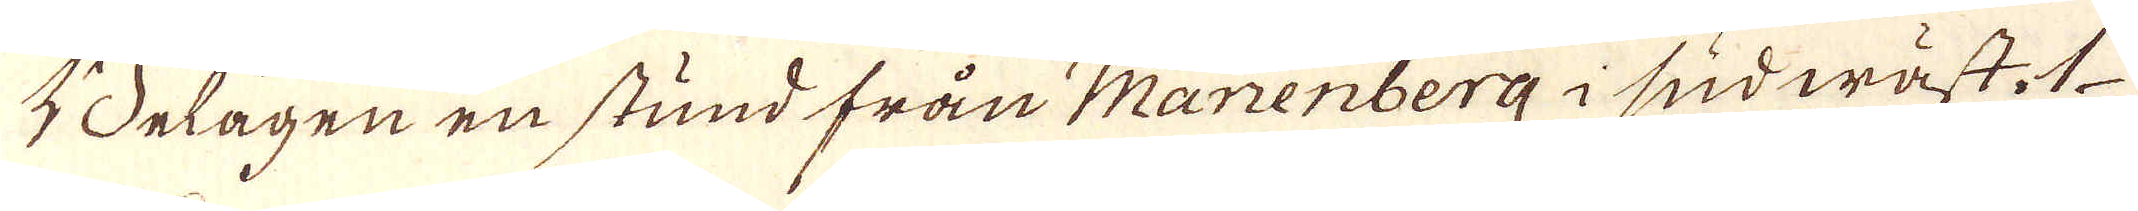Belägen en stund från Marienberg i sudwäst. 1
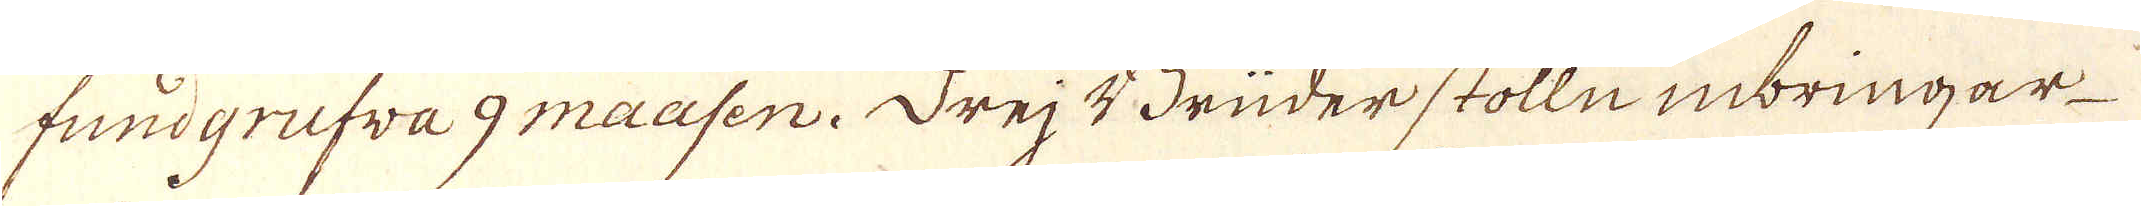fundgrufva 9 maasen. Drej Brüder stolln inbringar
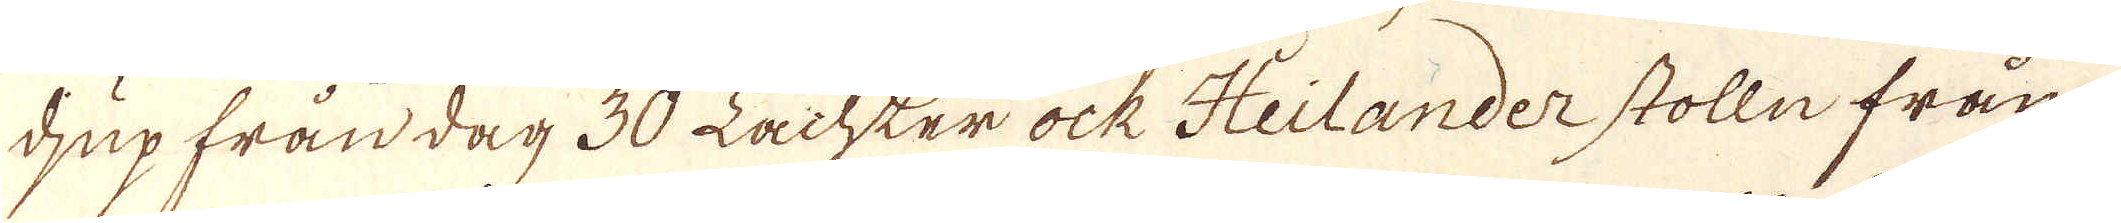djup från dag 30 Lachter ock Heilander stolln från
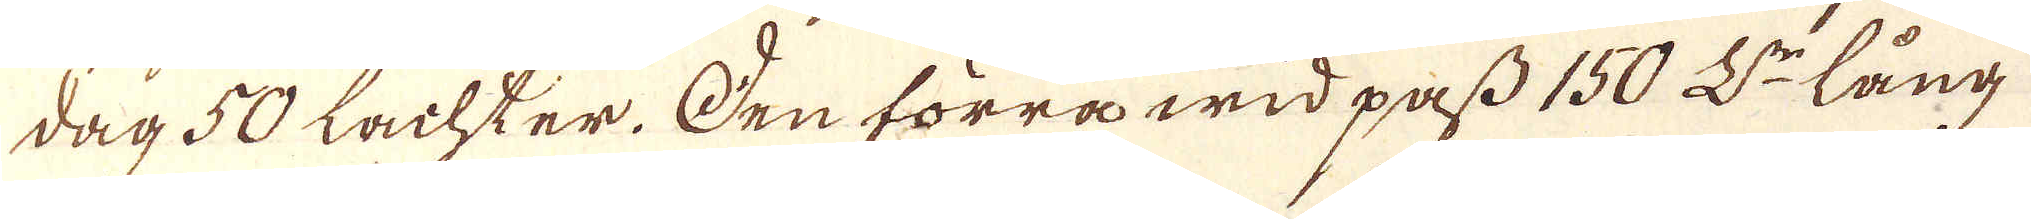dag 50 Lachter. Den förra wid pass 150 L:r lång
